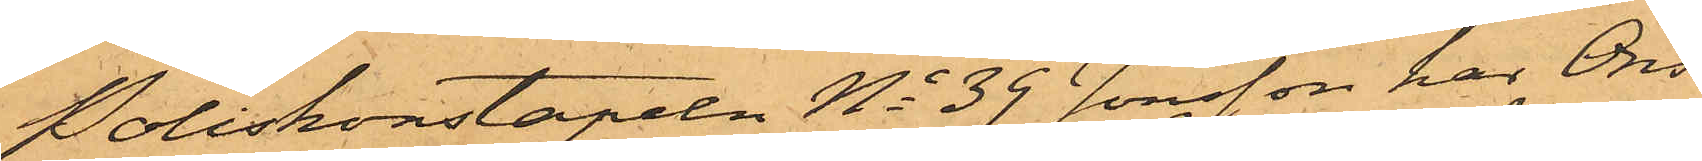Poliskonstapeln No 39 Jonsson har Ons¬
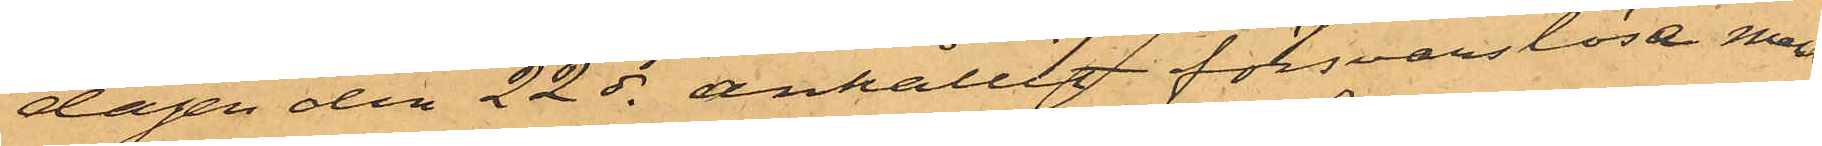dagen den 22 ds anhållit försvarslöse man¬
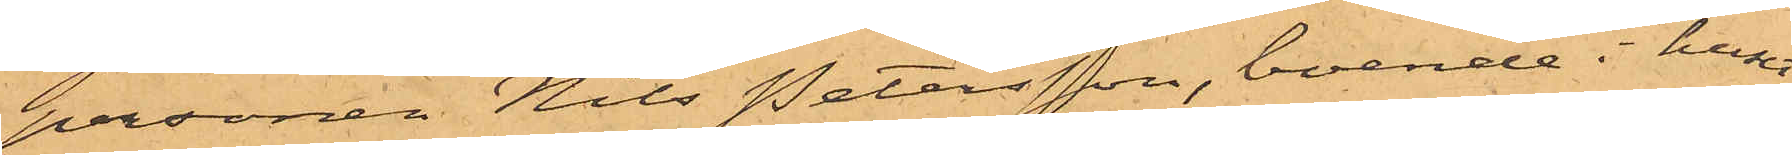personen Nils Petersson, boende i huset
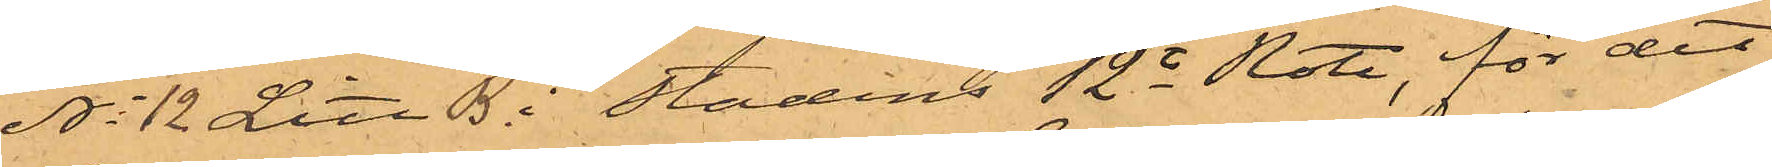No 12 Litt B i Stadens 12te Rote, för det
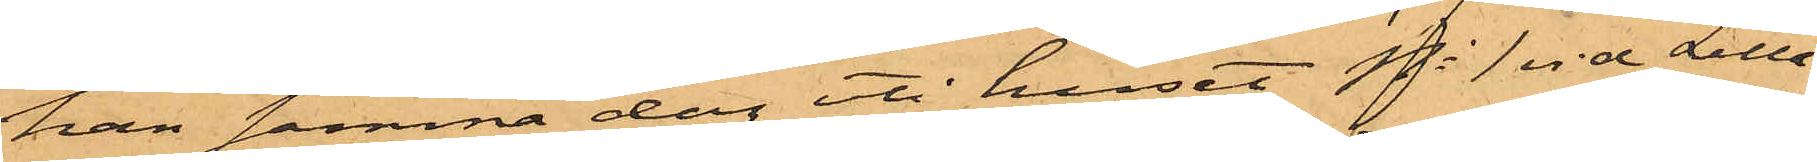han samma dag uti huset No 1 vid Lilla
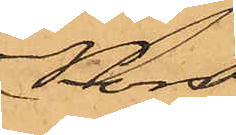Kors¬
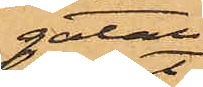gatan
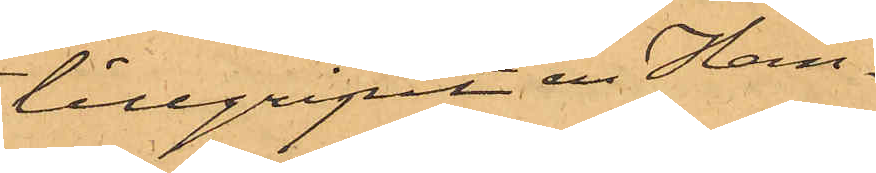tillgripit en Han¬
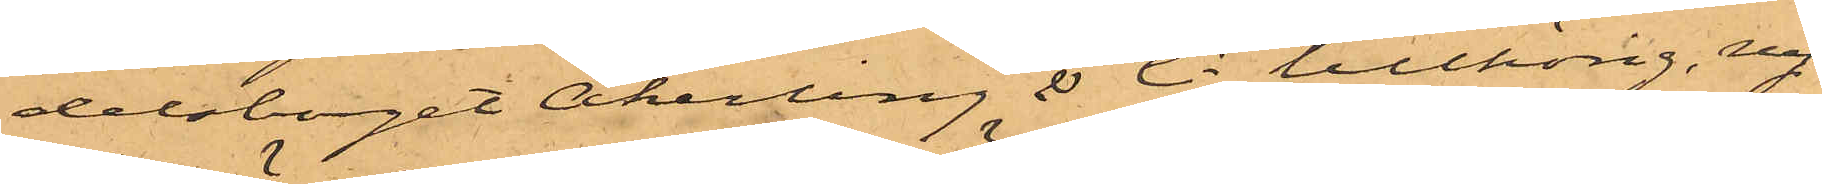delsbolaget Åkerling & Ci tillhörig ny
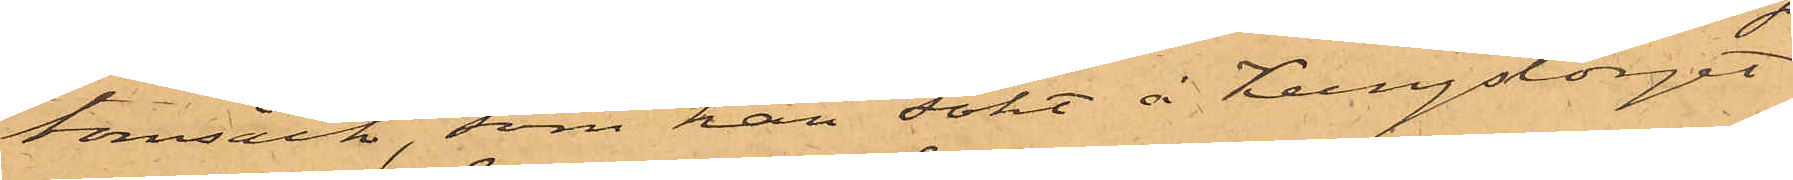tomsäck, som han sökt å Kungstorget
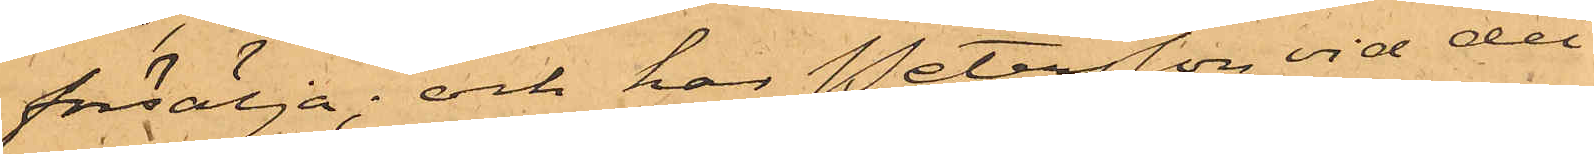försälja; och har Petersson vid det
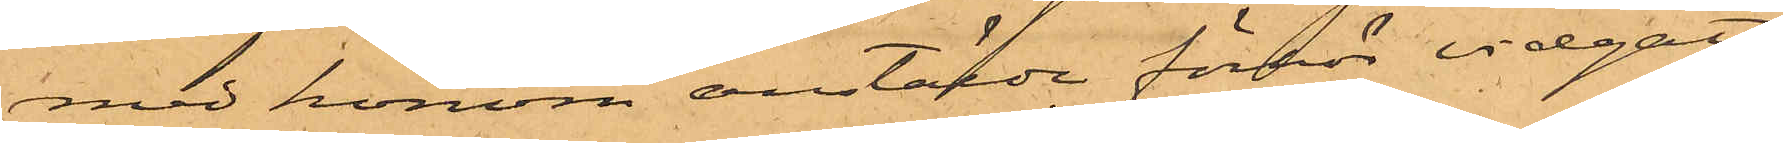med honom anstälde förhör vidgått
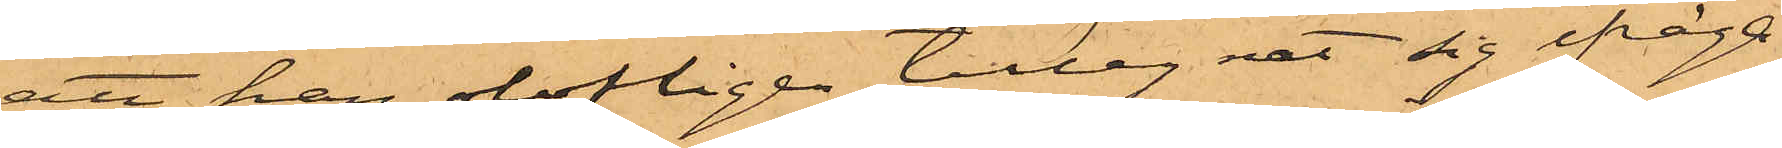att han olofligen tillegnat sig ifråga¬
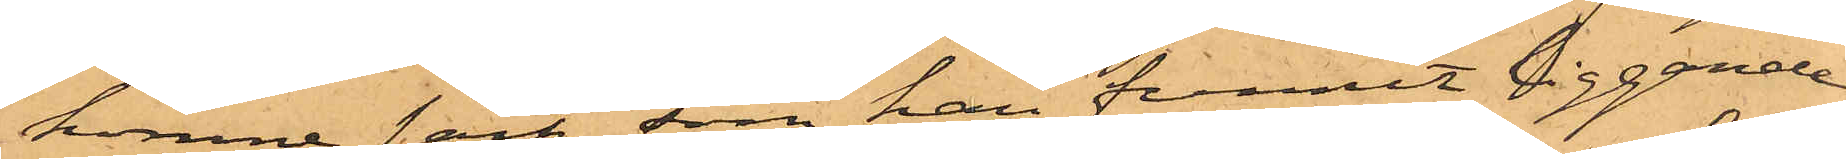komne säck, som han funnit liggande
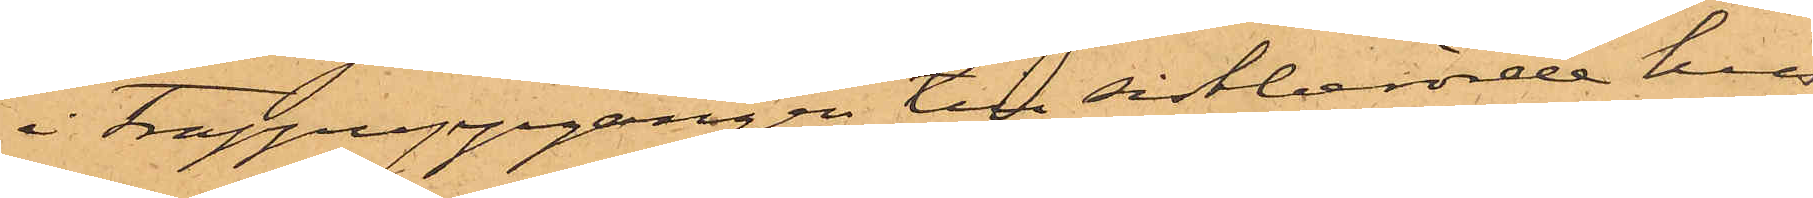i trappuppgången till sistberörde hus
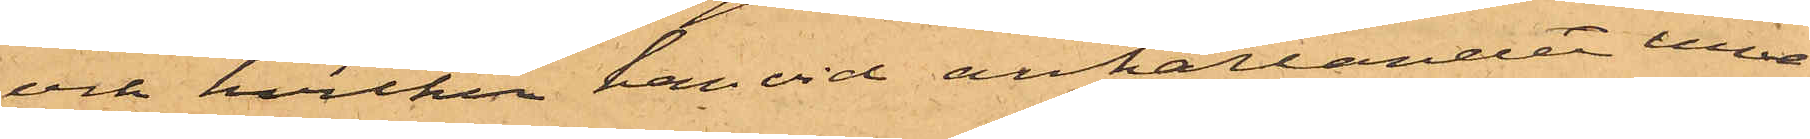och hvilken han vid anhållanden inne¬
